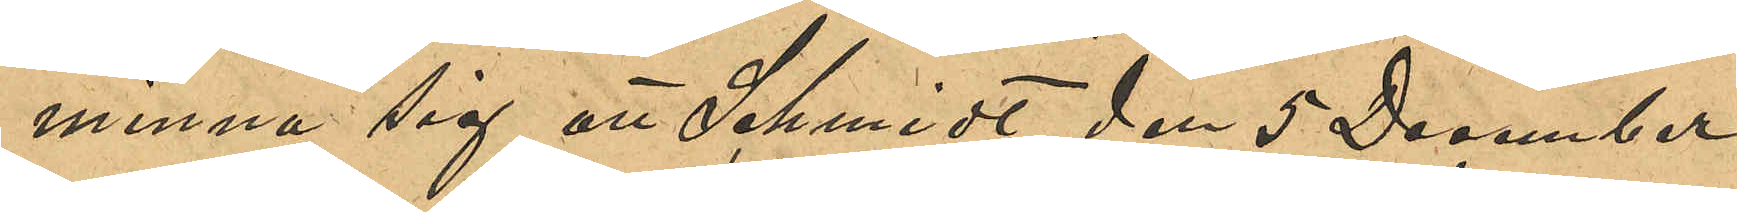minna sig att Schmidt den 5 December
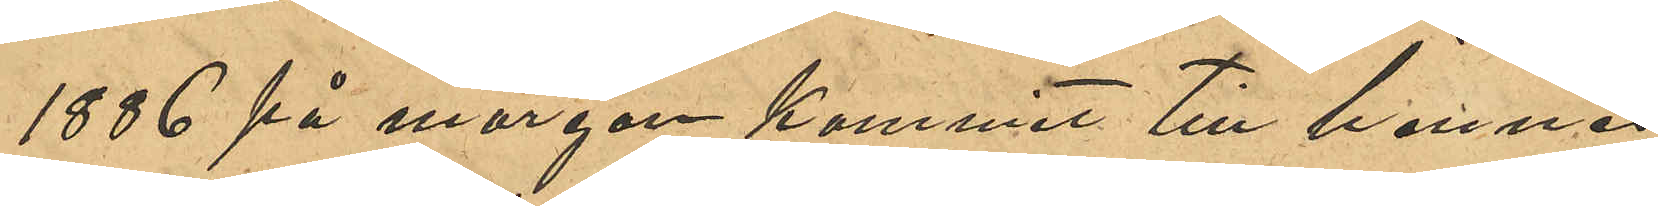1886 på morgonen kommit till hennes
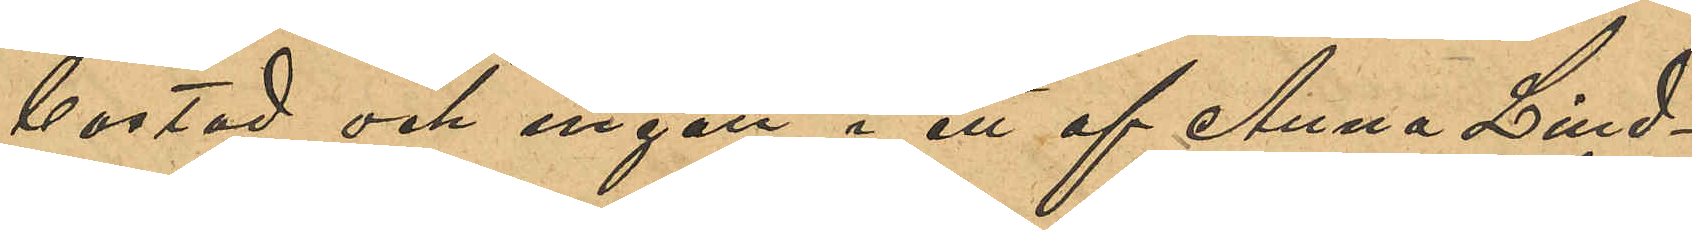bostad och ingått i ett af Anna Lind¬
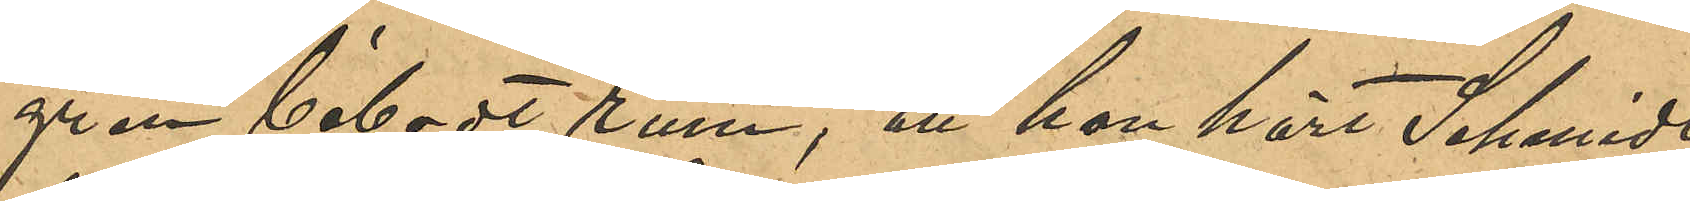gren bebodt rum, att hon hört Schmidt
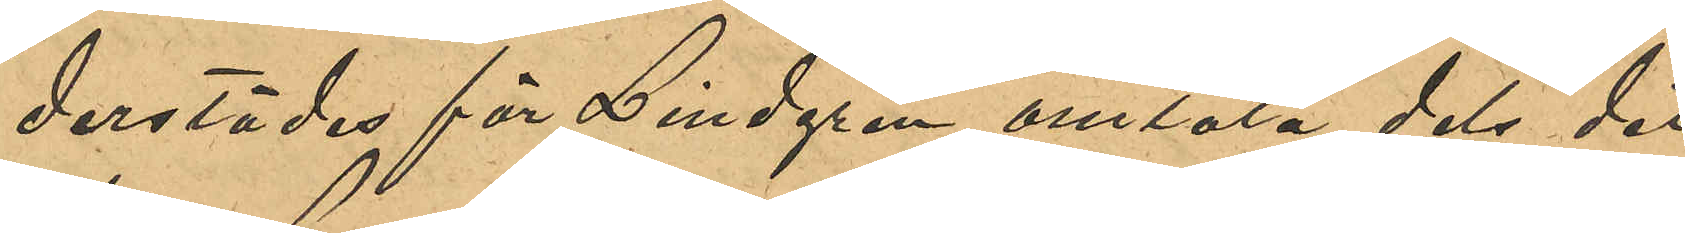derstädes för Lindgren omtala, dels det
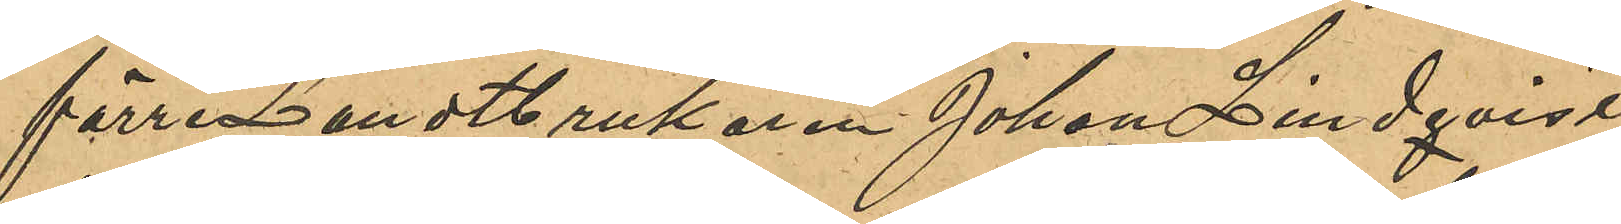förre Landtbrukaren Johan Lindqvist
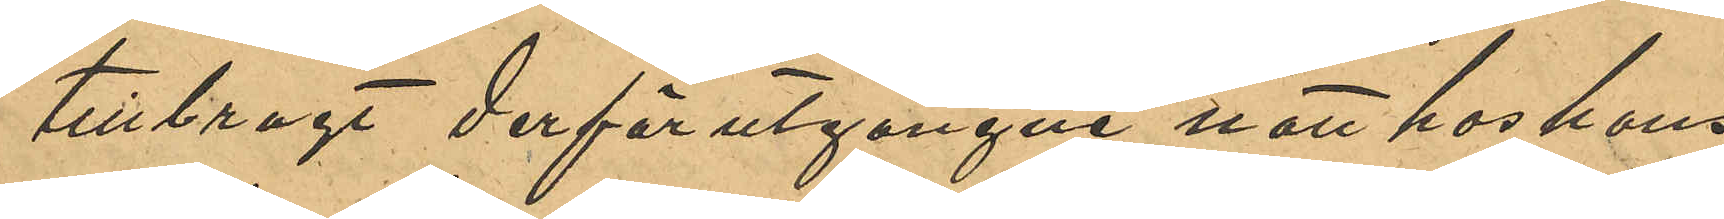tillbragt derförutgångne natt hos hans
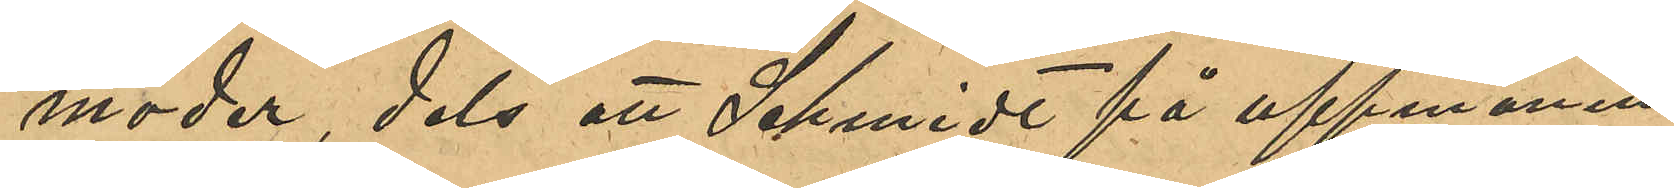moder, dels att Schmidt på uppmaning
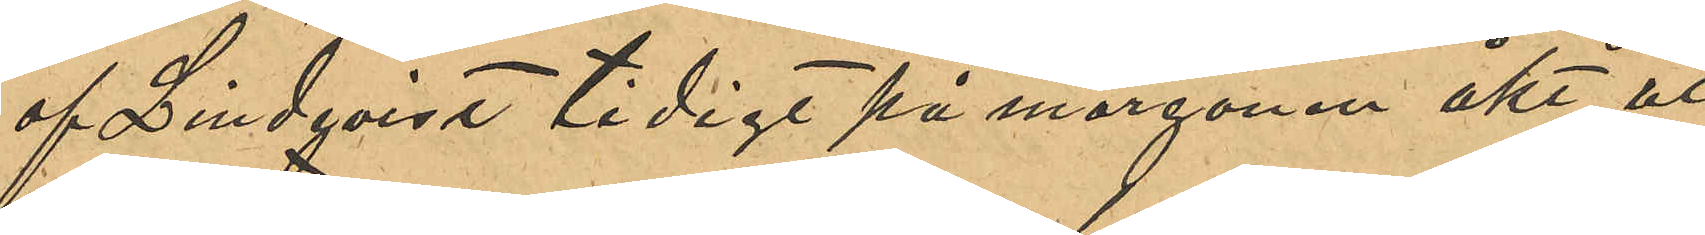af Lindqvist tidigt på morgonen åkt ut
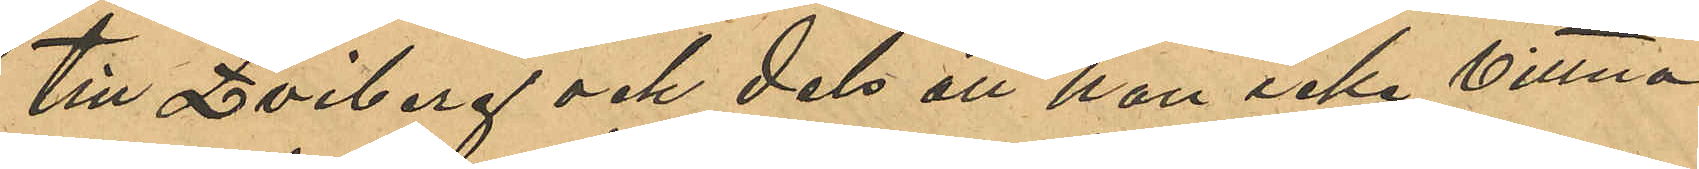till Qviberg och dels att han icke vittna
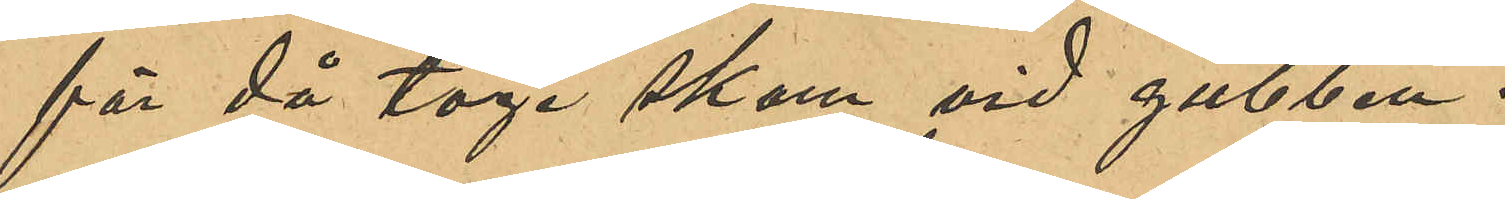för då toge skam vid gubben.
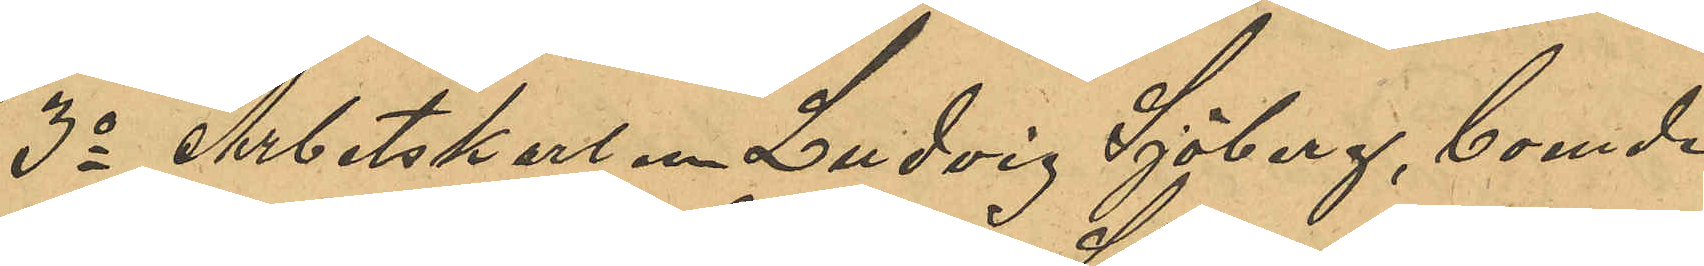3o Arbetskarlen Ludvig Sjöberg, boende 
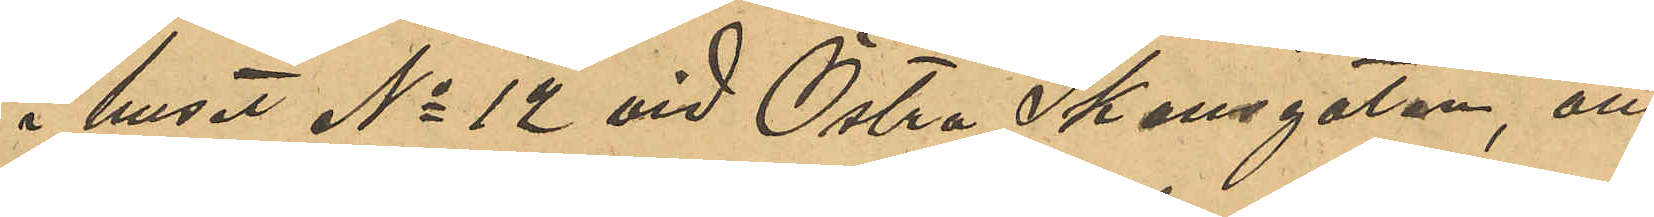i huset No 12 vid Östra Skansgatan, att
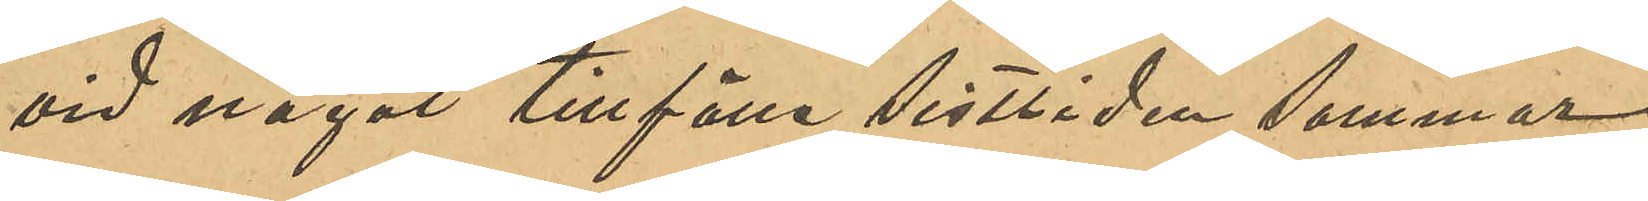vid något tillfälle sistlidne sommar
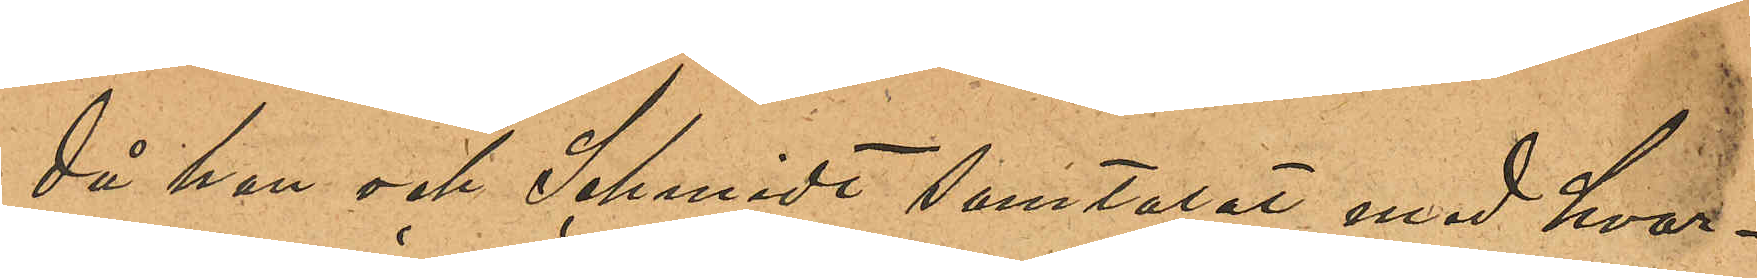då han och Schmidt samtalat med hvar¬
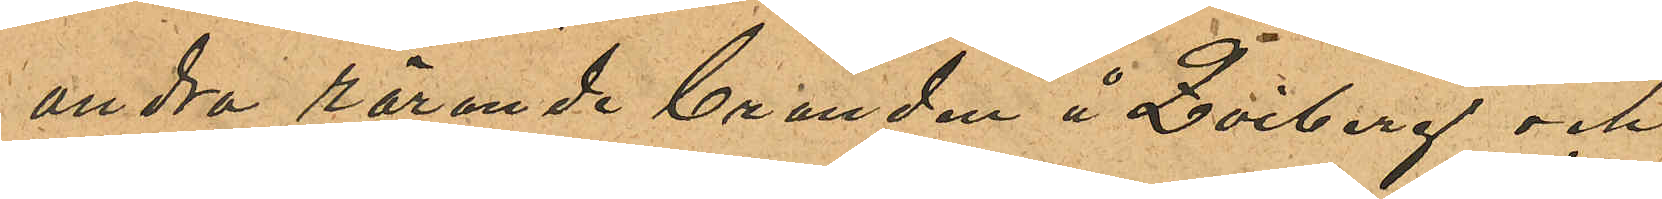andra rörande branden å Qviberg och
